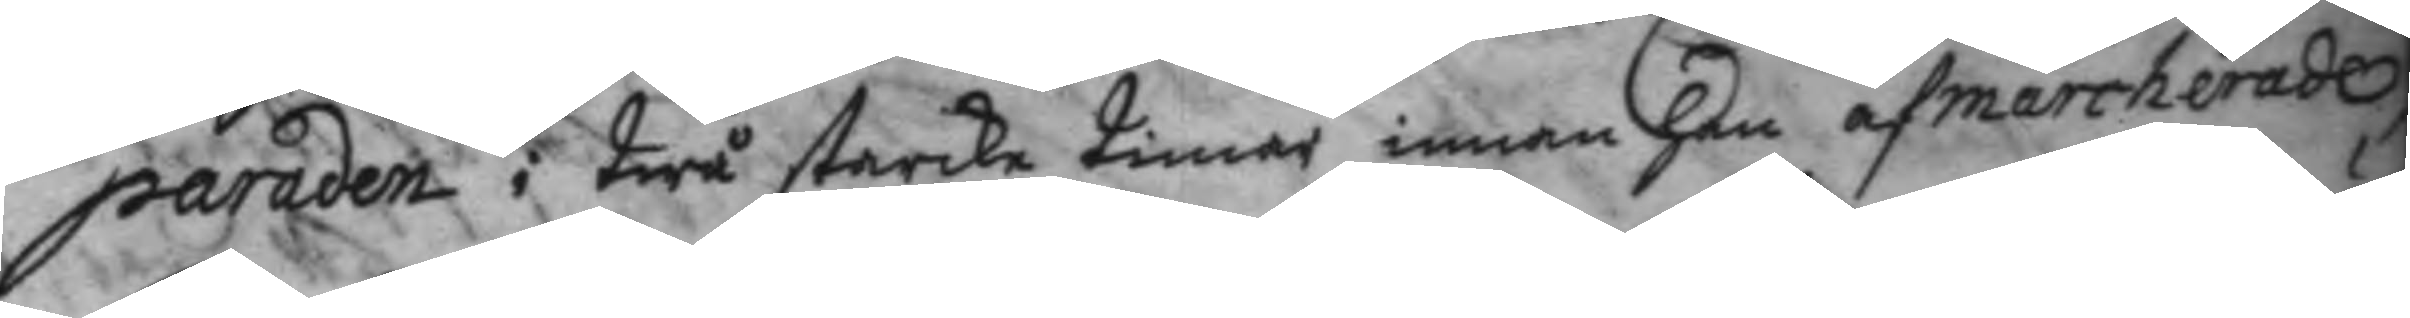paraden i twå starka timar innan han afmarcherade,
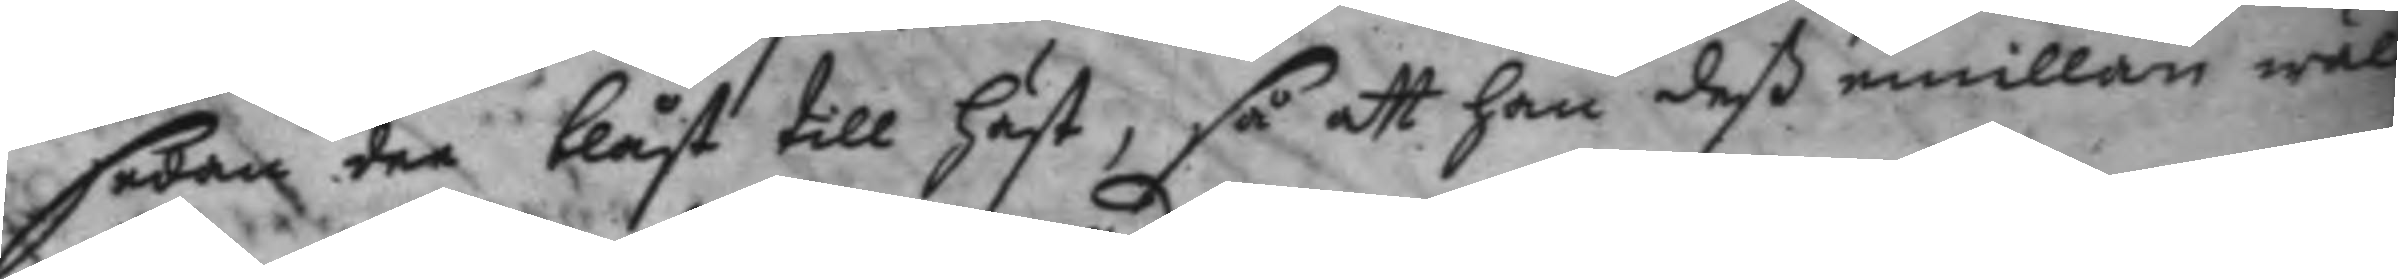sedan den blåst till häst, så att han deß emillan wäl
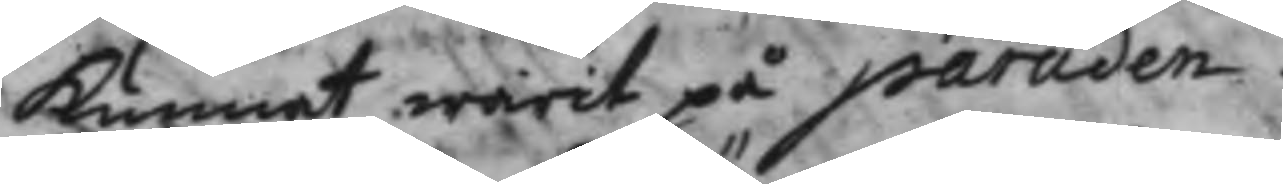kunnat warit på paraden.
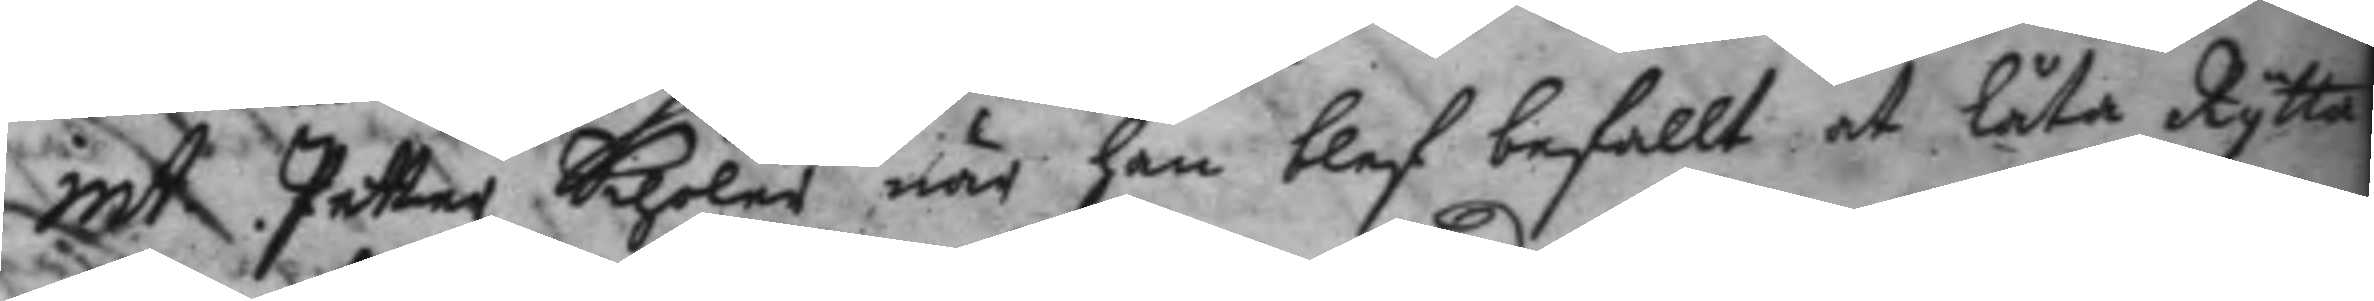int: Petter Schöler når han blef befallt at låta Rytta¬
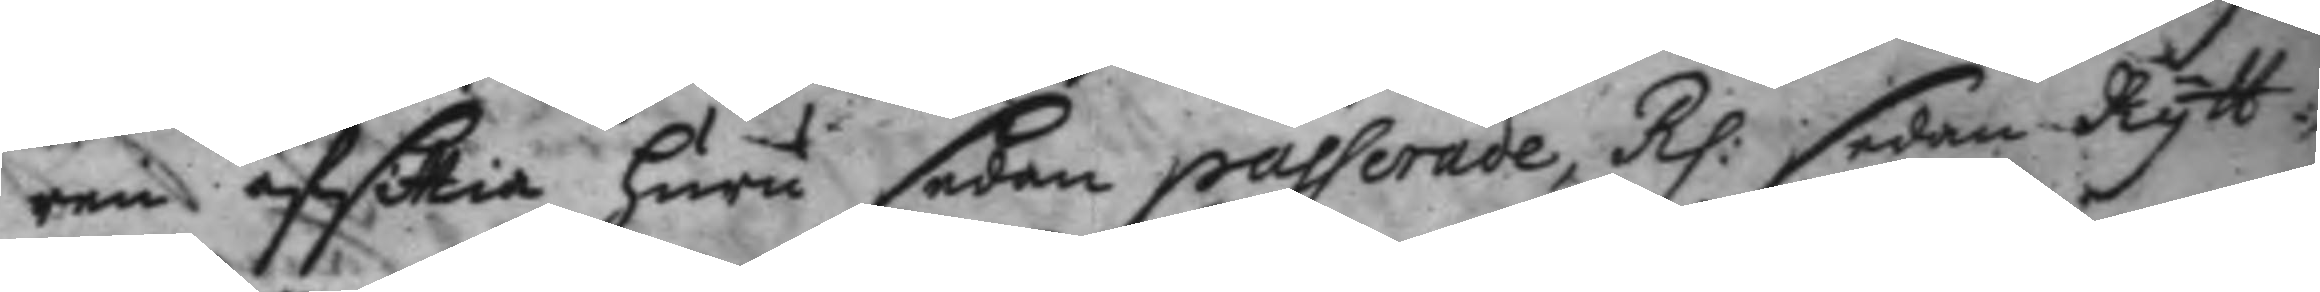ren af sittia huru sedan passerade, Rp: sedan Rytt¬
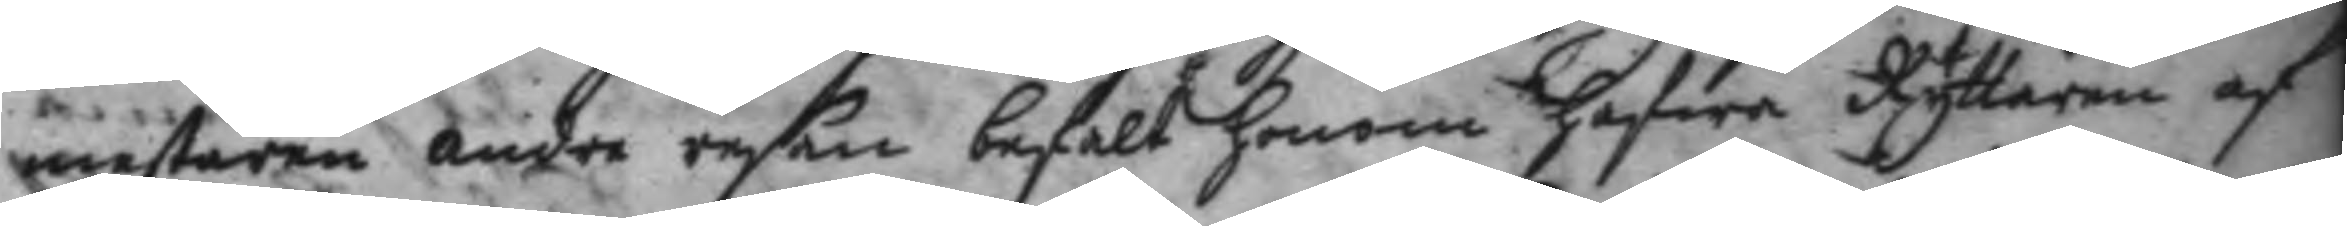mestaren andra resan befalt honom hafwa Ryttaren af
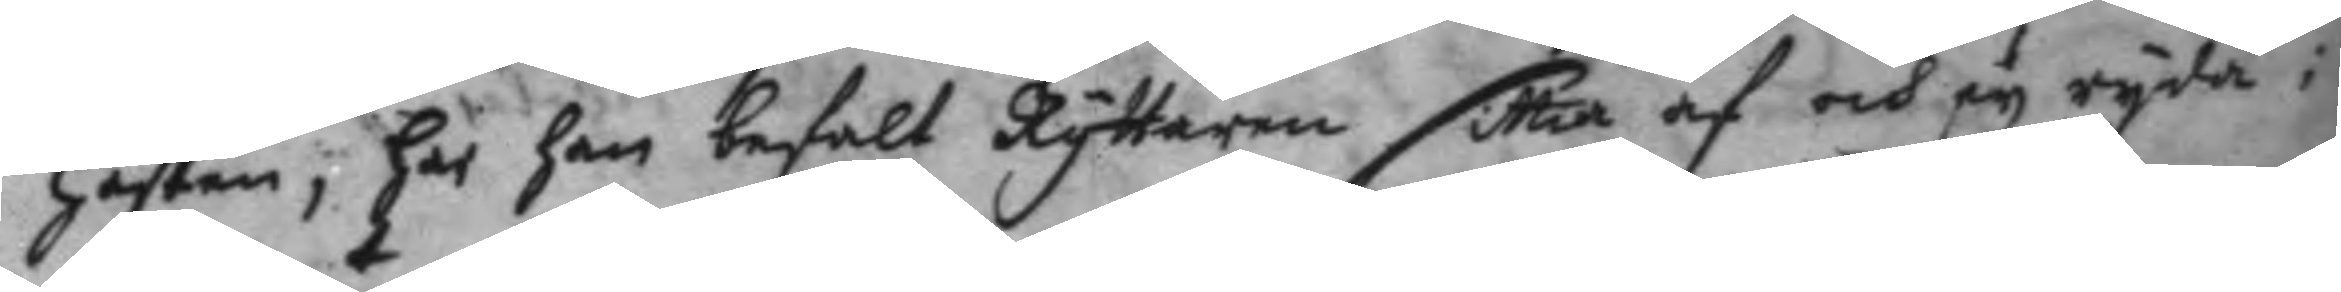hästen, har han befalt Ryttaren sittia af och ey ryda i
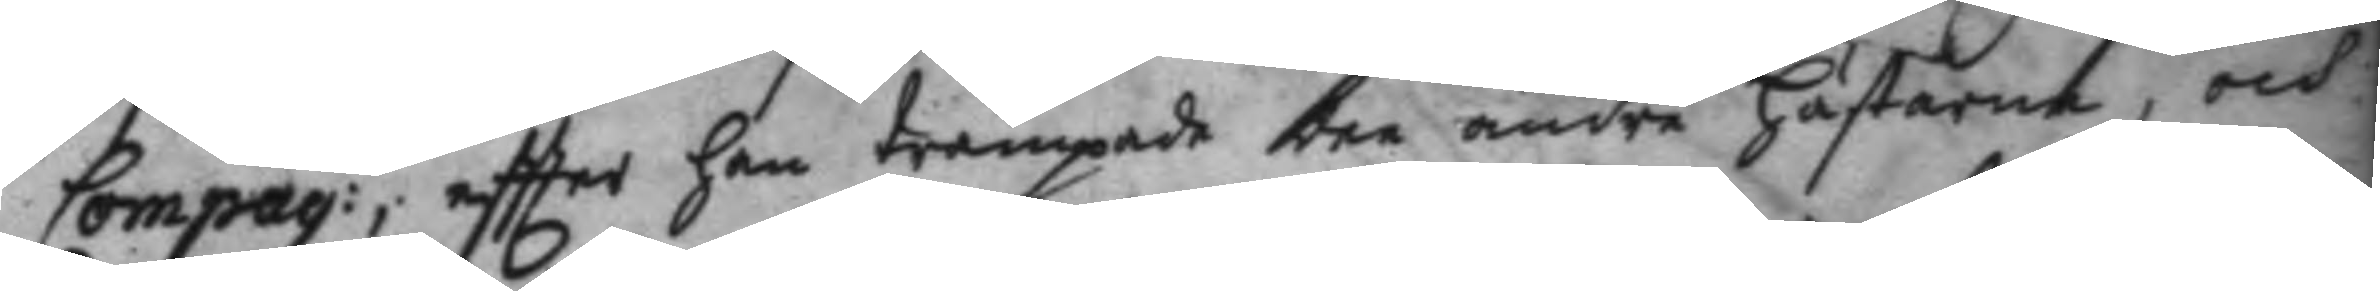Compag:t, eftter han trampade dee andre hästarne, och
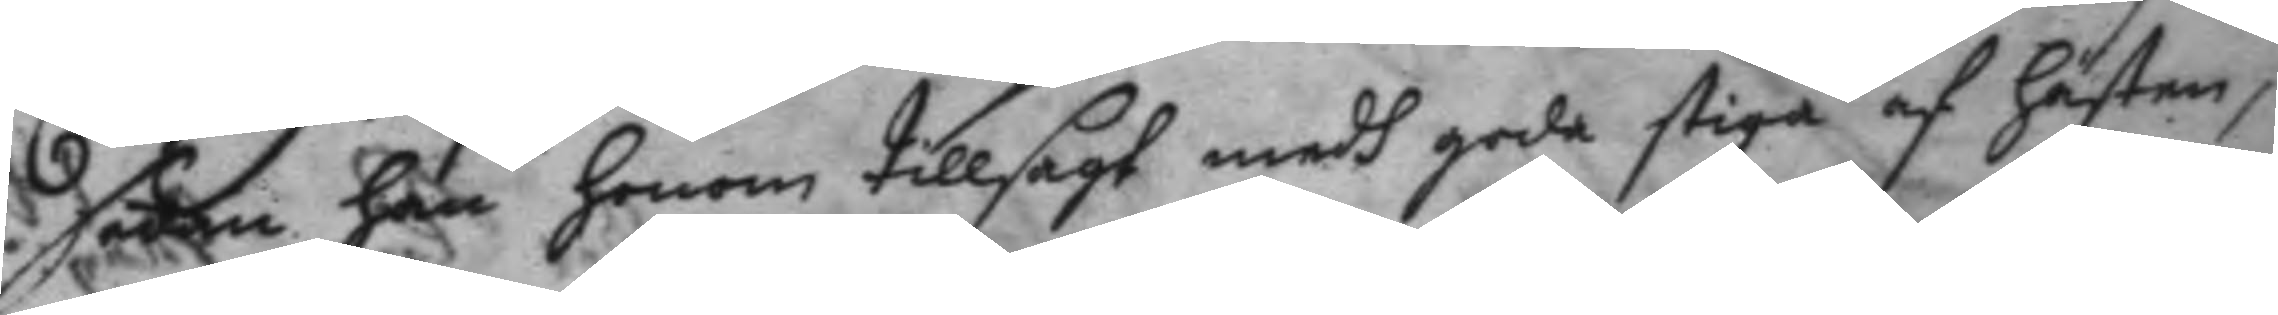sdan han honom tillsagt medg goda stiga af hästen,
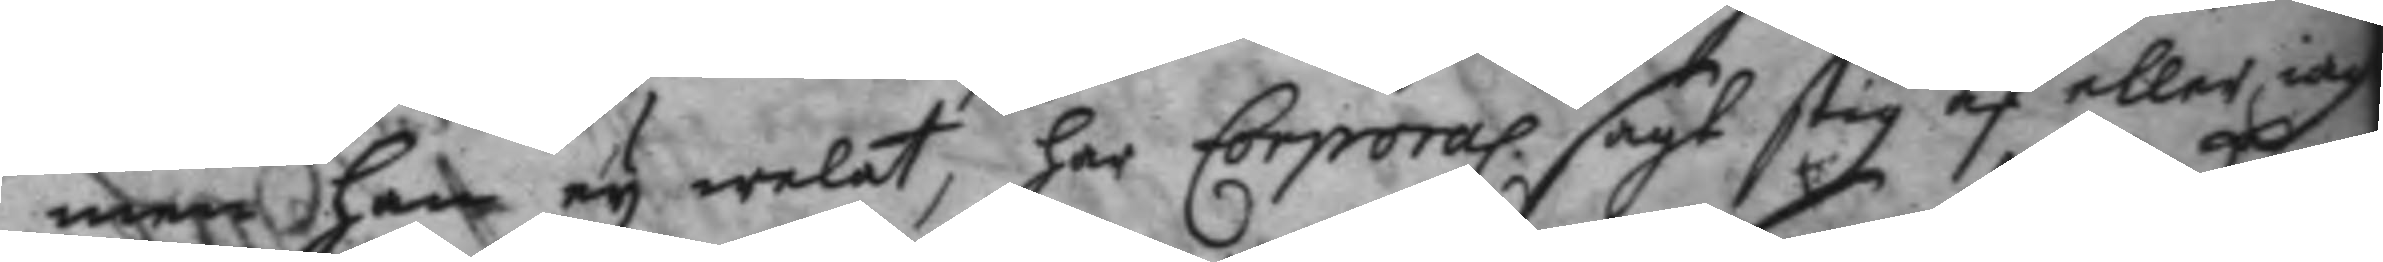men han ey welat, har Corporal sagt stig af eller iag
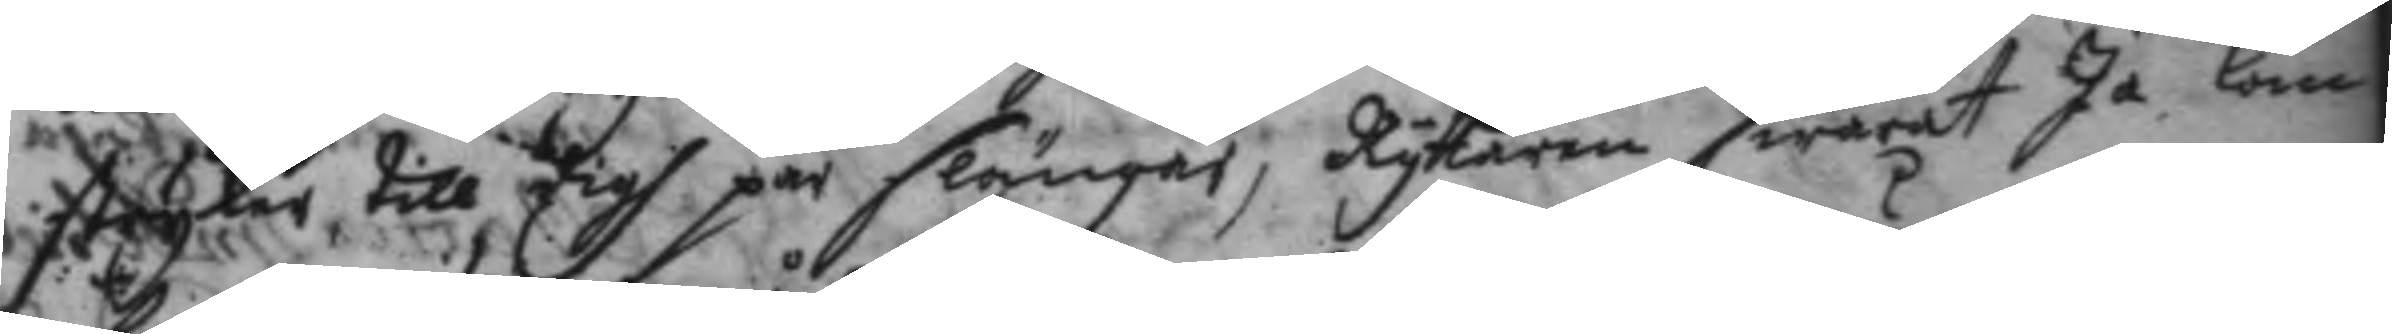stryker till digh par slängar, Ryttaren swarat Ja, kom
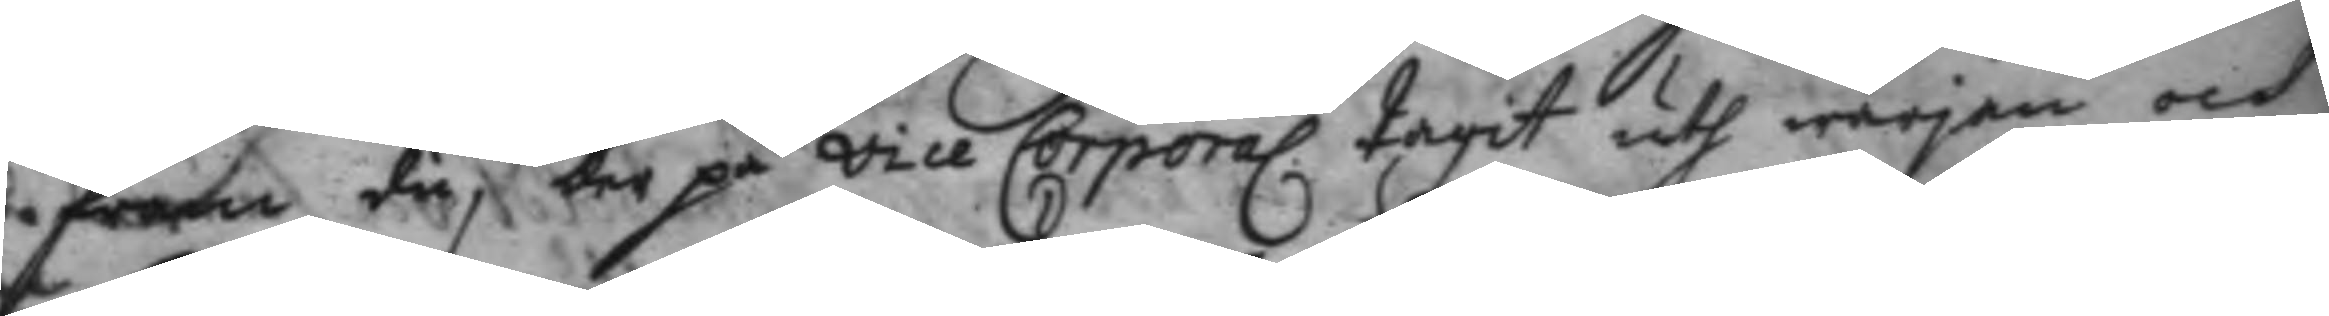fram du, der på vice Corporal tagit uth wärjan och
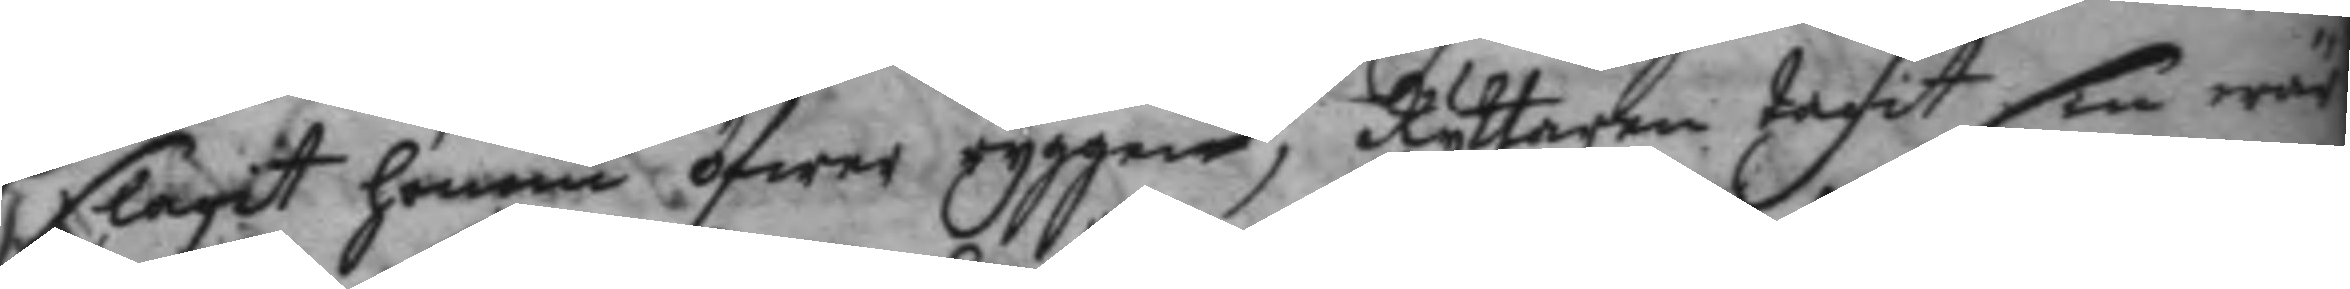slagit honom öfwer ryggen, Ryttaren tagit sin wär¬
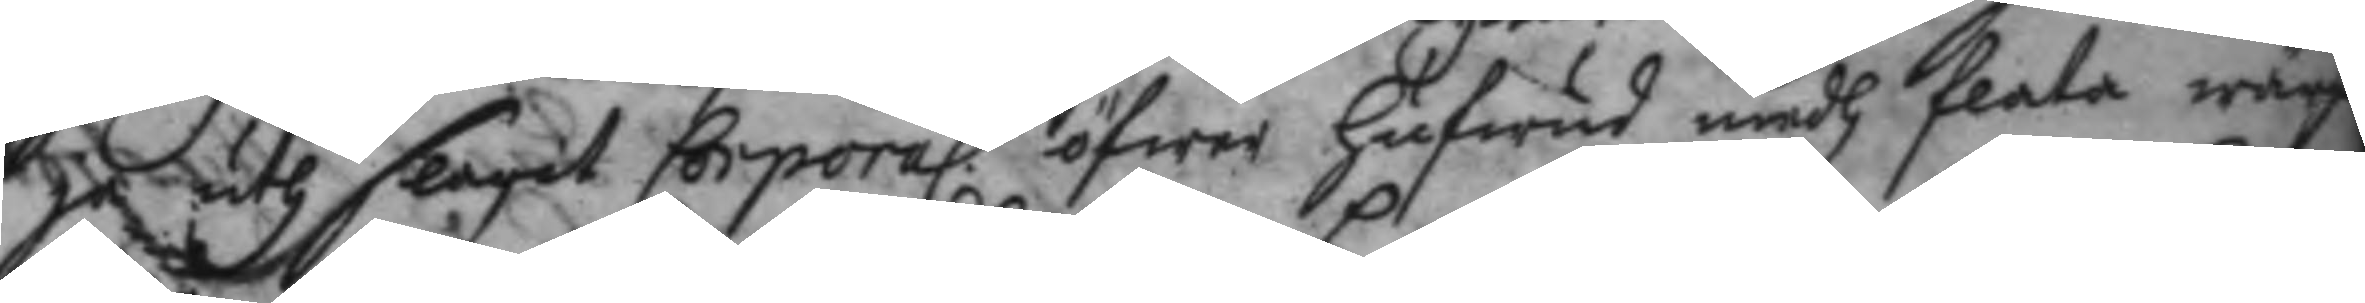ja uth slagit Corporal öfwer hufwud medh flata wärja
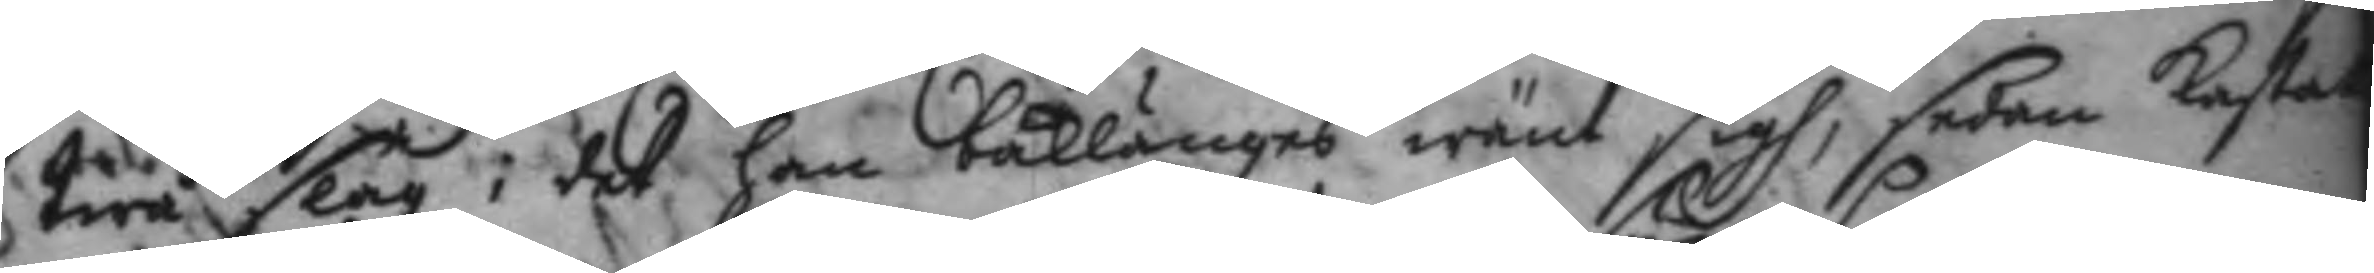twå slag i det han baklänges wänt sigh, sedan kastat
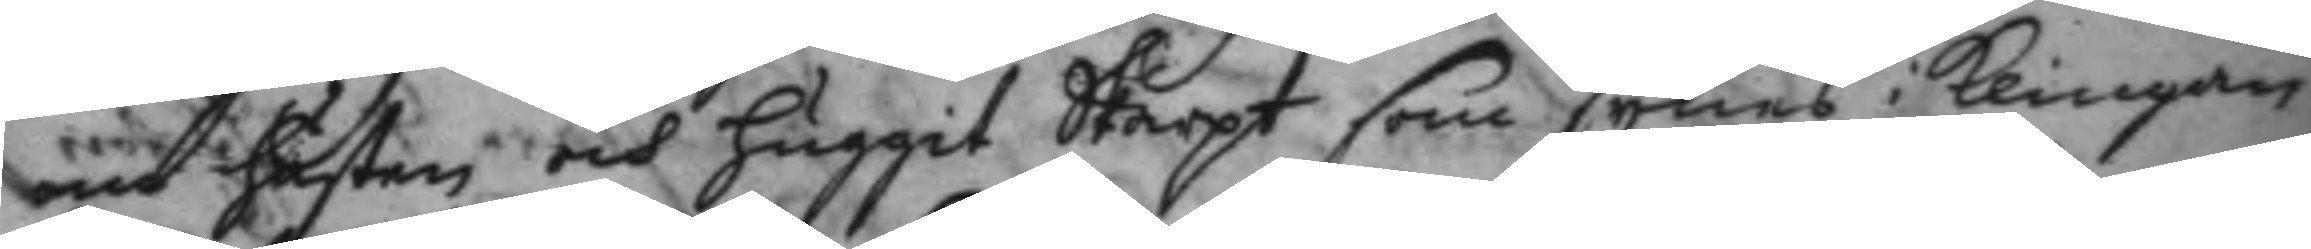om hästen och huggit Skarpt som synes i klingan
